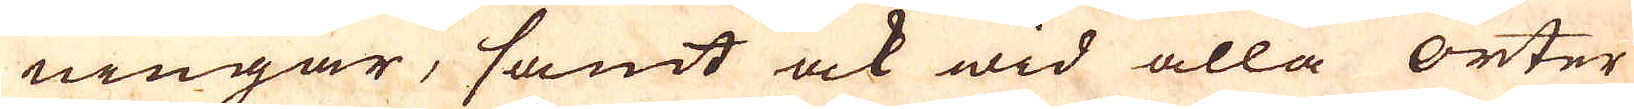ningar, samt ock wid alla orter
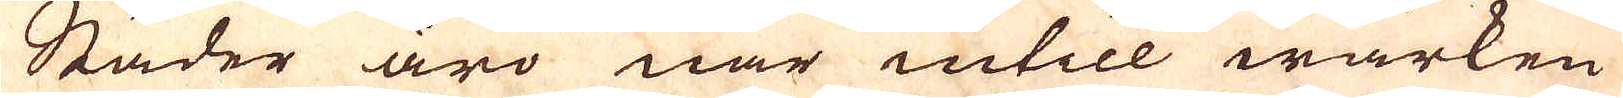Städer äro när intill wärken
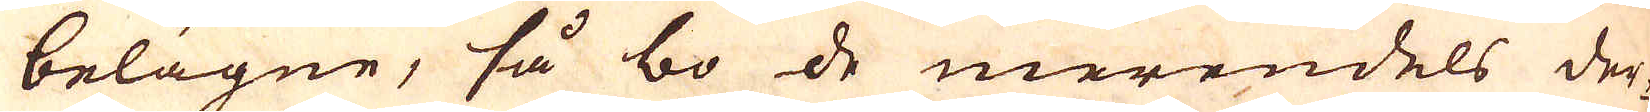belägne, så bo de merendels der-
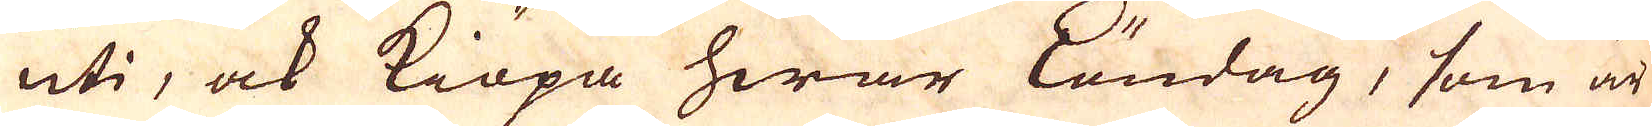uti, ock Kiöpa hwar löndag, som är
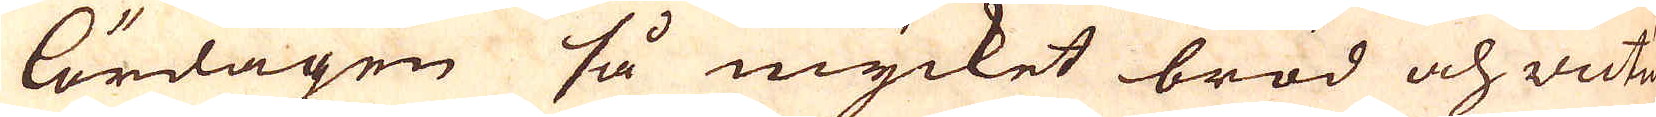lördagen så mycket bröd och victu-
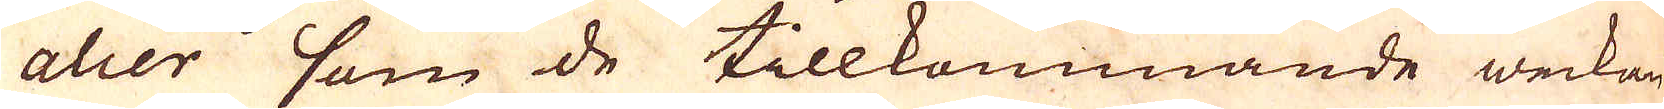alier som de tillkommande weckan
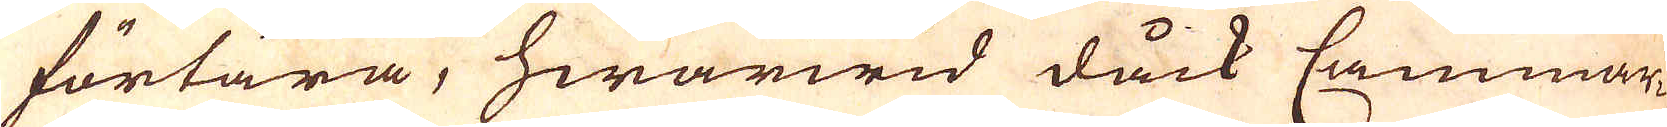förtära, hwarwid dåck Cammar-
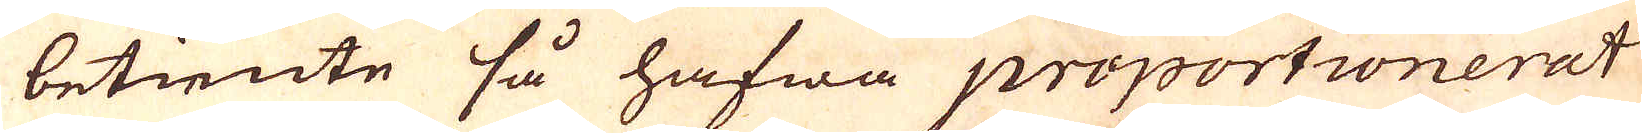betiente så hafwa proportionerat
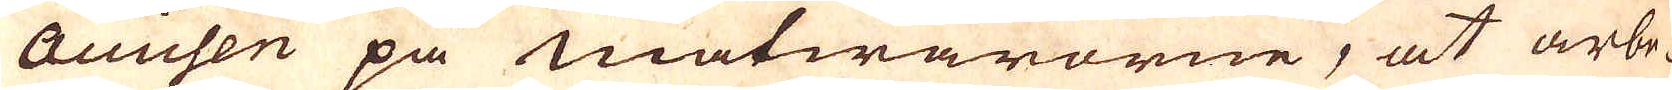accichen på matwarorne, at arbe-
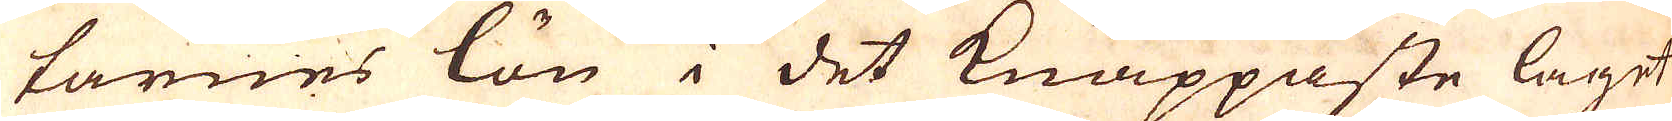tarnes lön i det knappaste laget
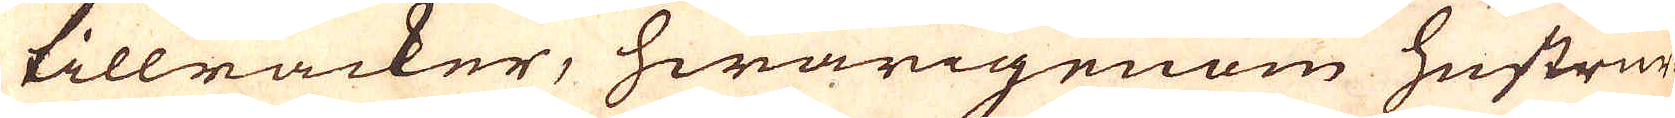tillräcker, hwarigenom hustrur-
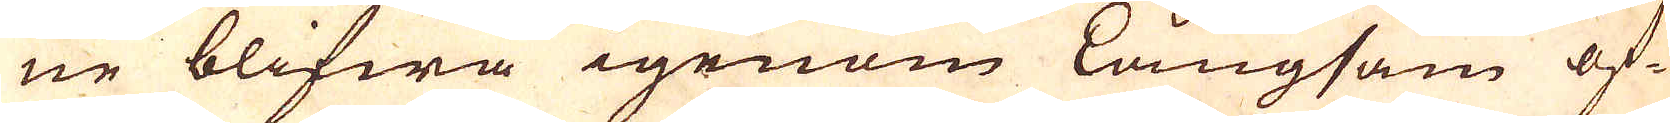ne blifwa igenom långsam öf-
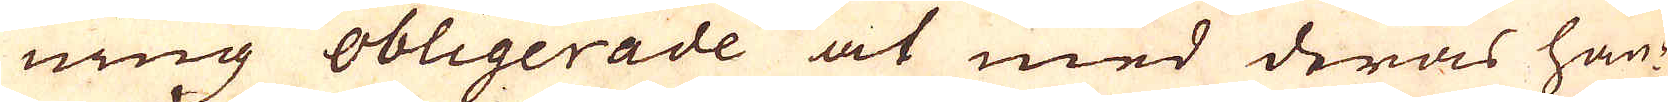ning obligerade at med deras hän-
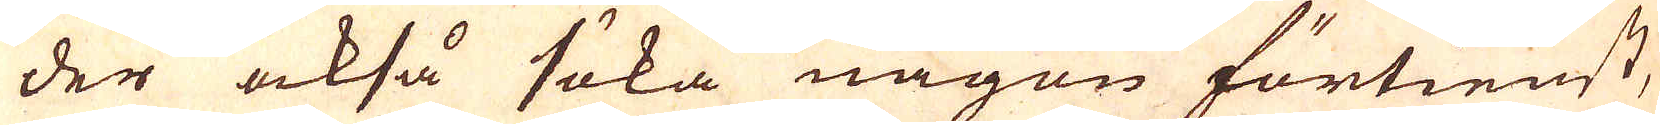der också söka någon förtienst,
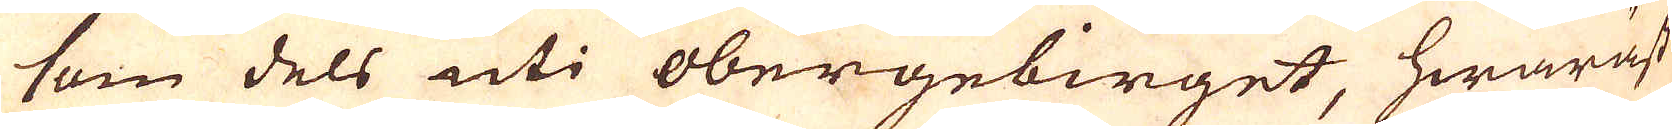som dels uti obergebirget, hwaräst
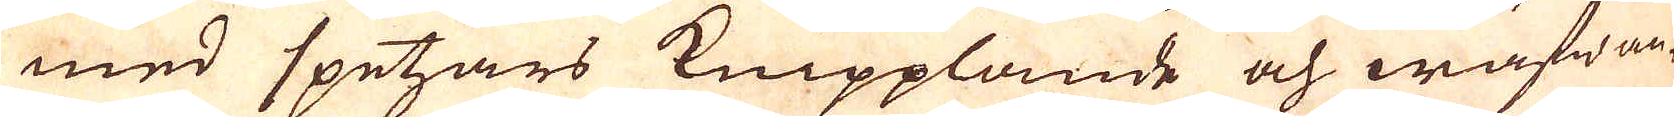med spetzars Knipplande och wäfwan-
